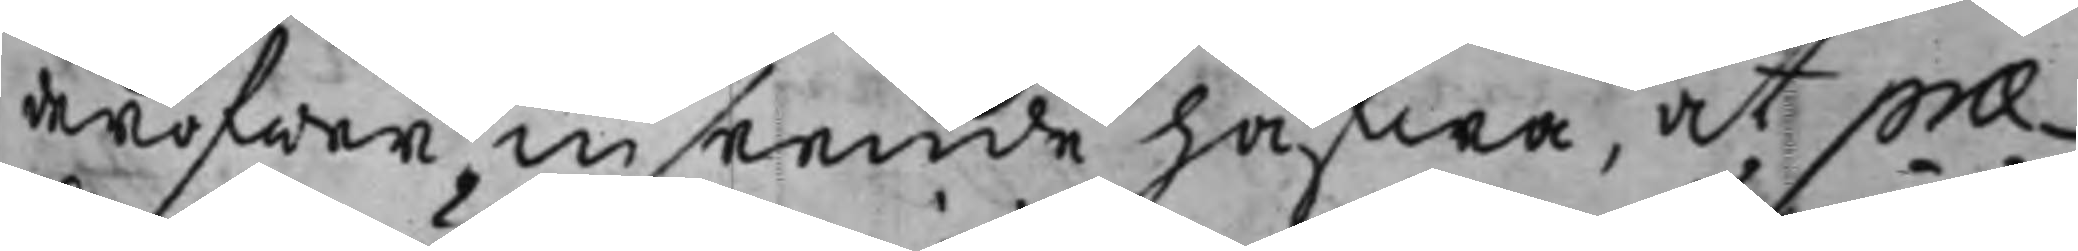deröfwer inseende hafwa, at præ¬
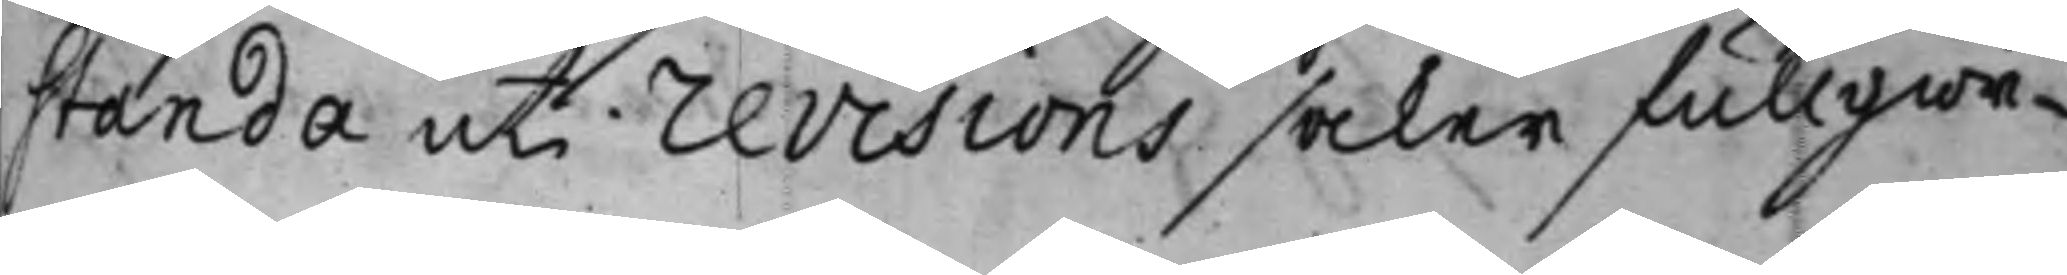standa uti revisions saker fullgiör¬
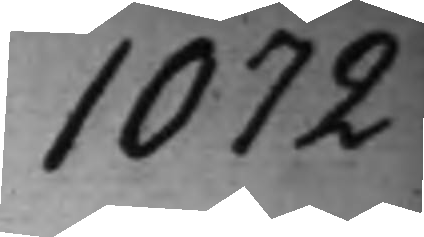1072
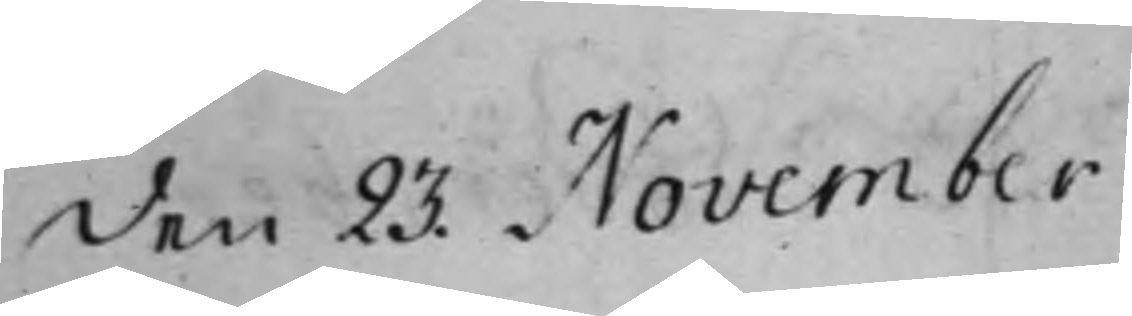den 23. November
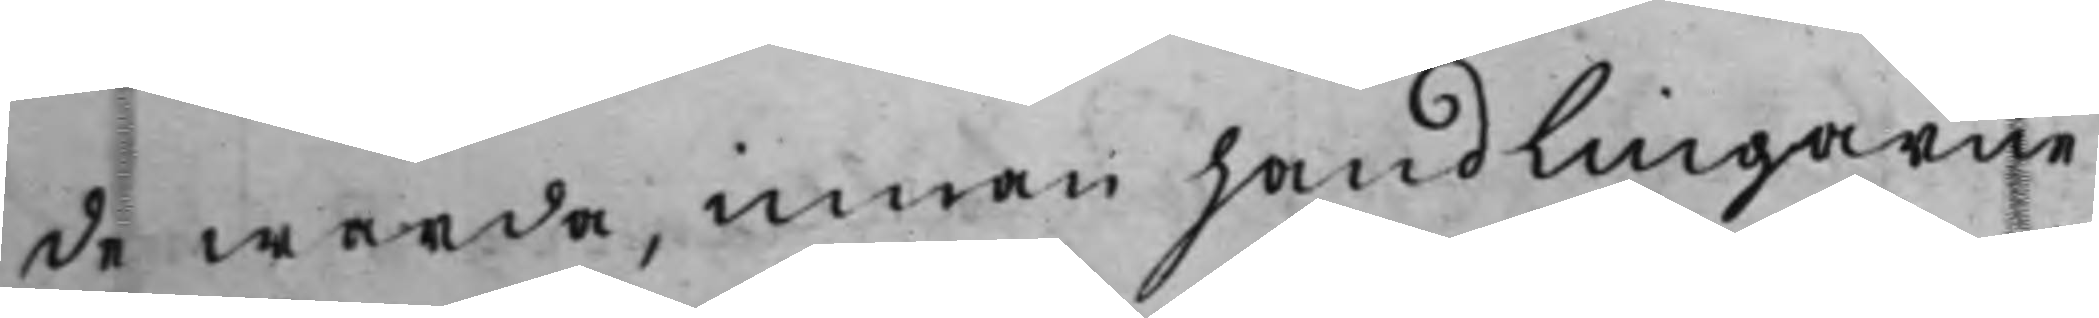de warda, innan handlingarne
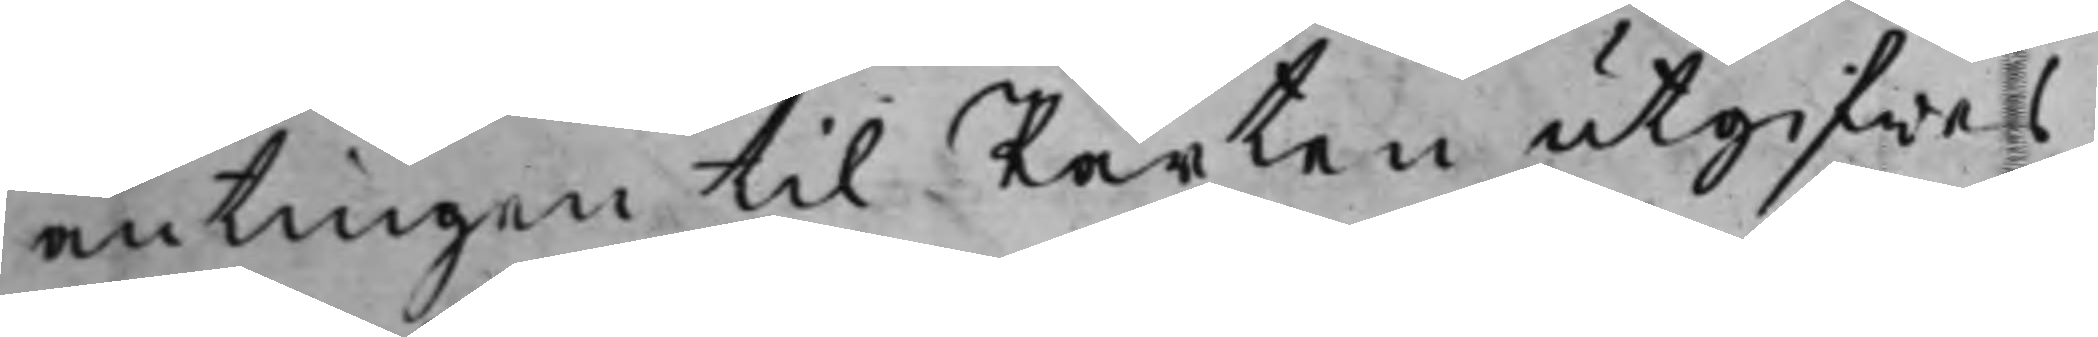antingen till Parten utgifwes
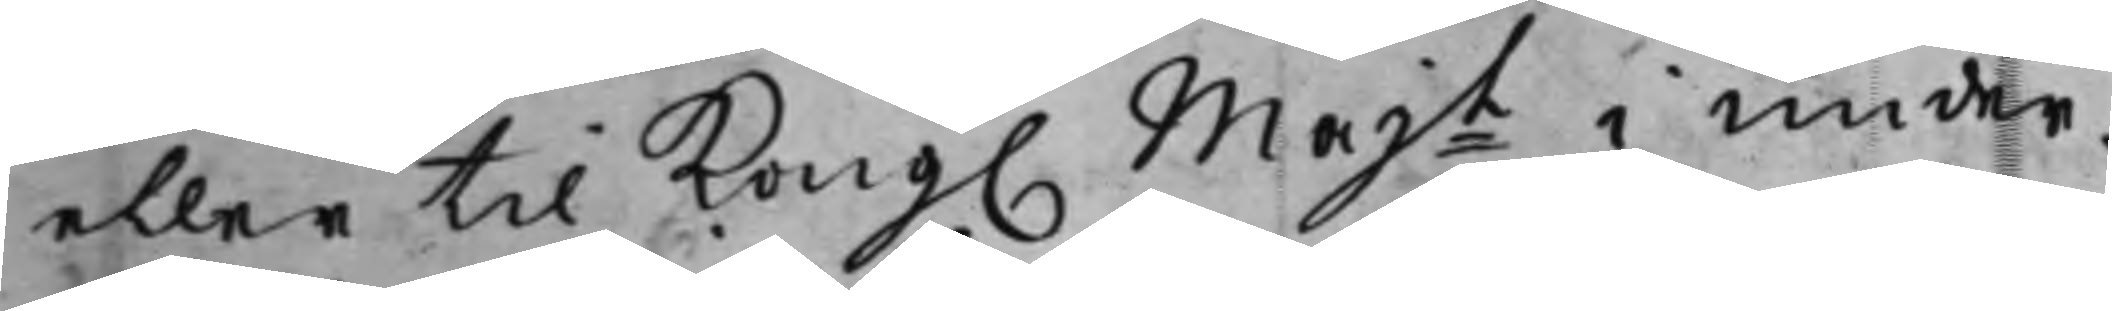eller til Kong. Majt i under¬
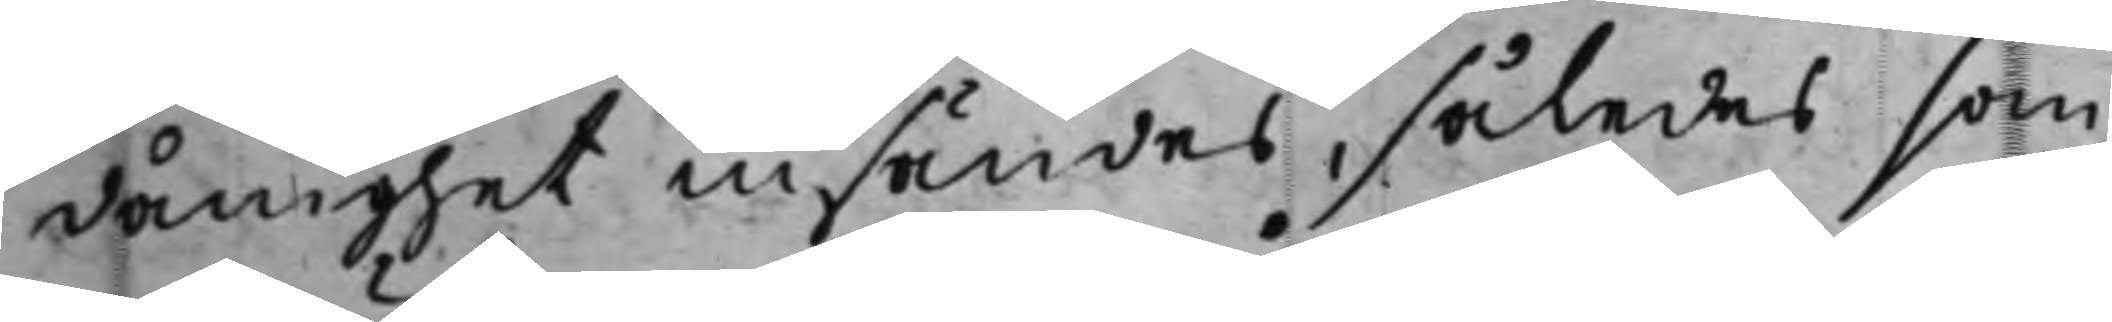dånighet insändes, således som
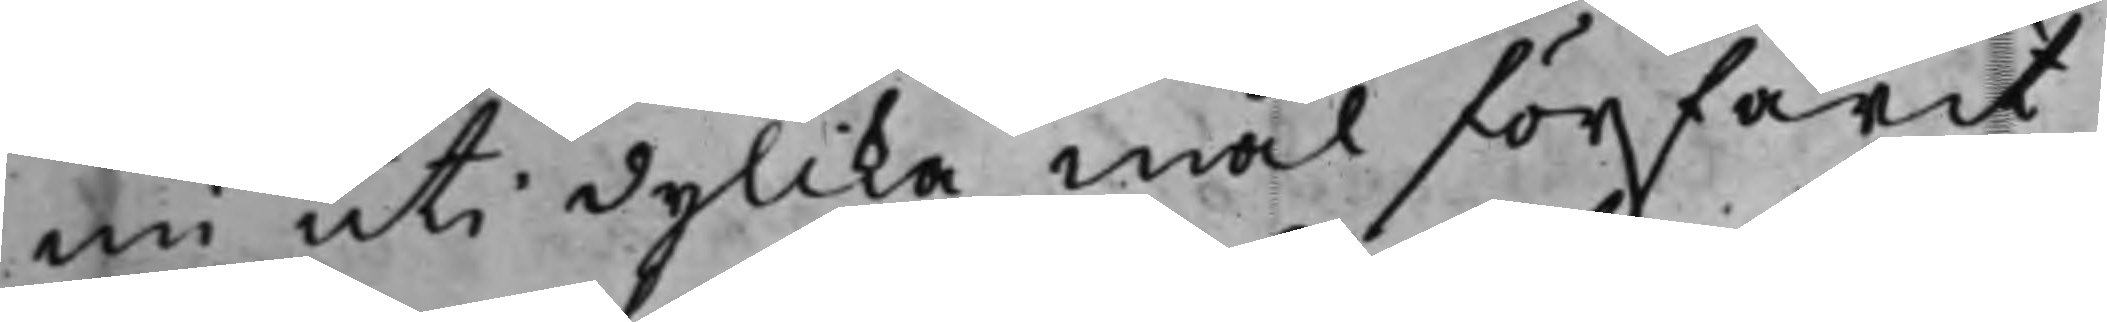nu uti dylika mål förfarit,
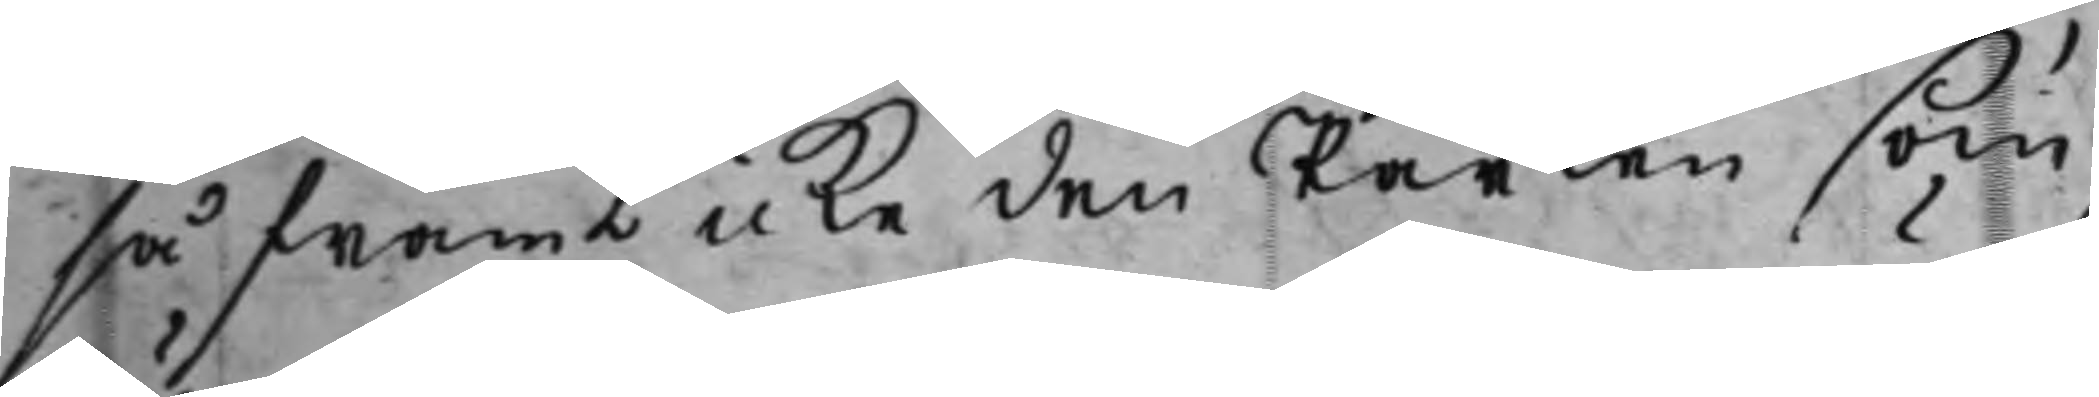så framt icke den Parten som
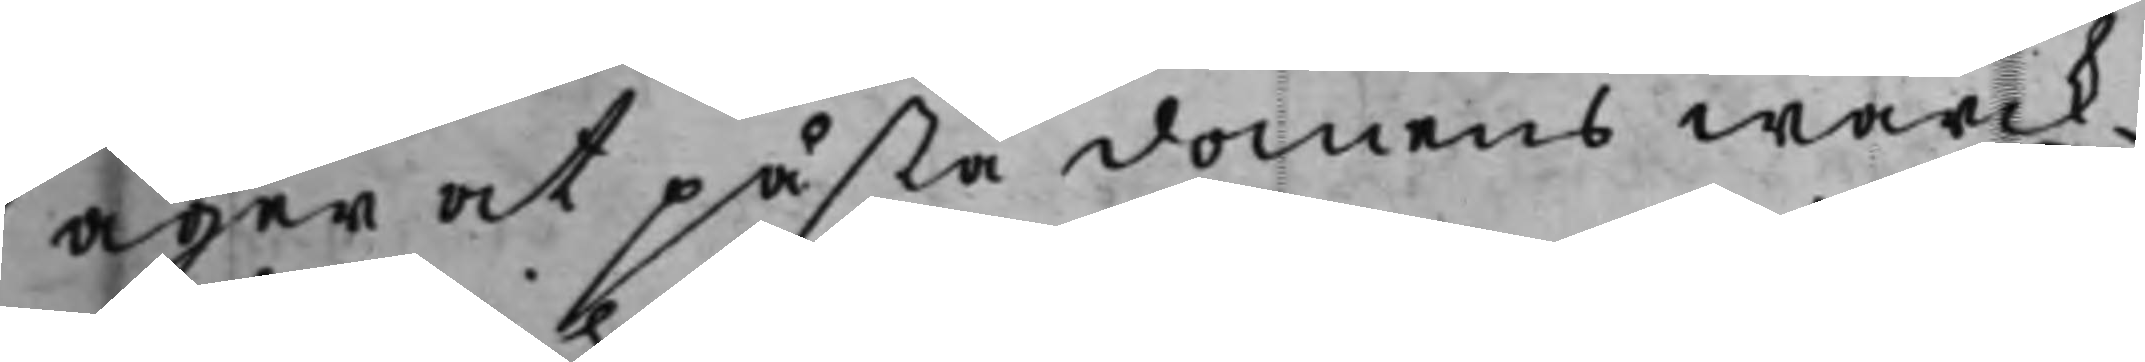äger at påstå domens wärck¬
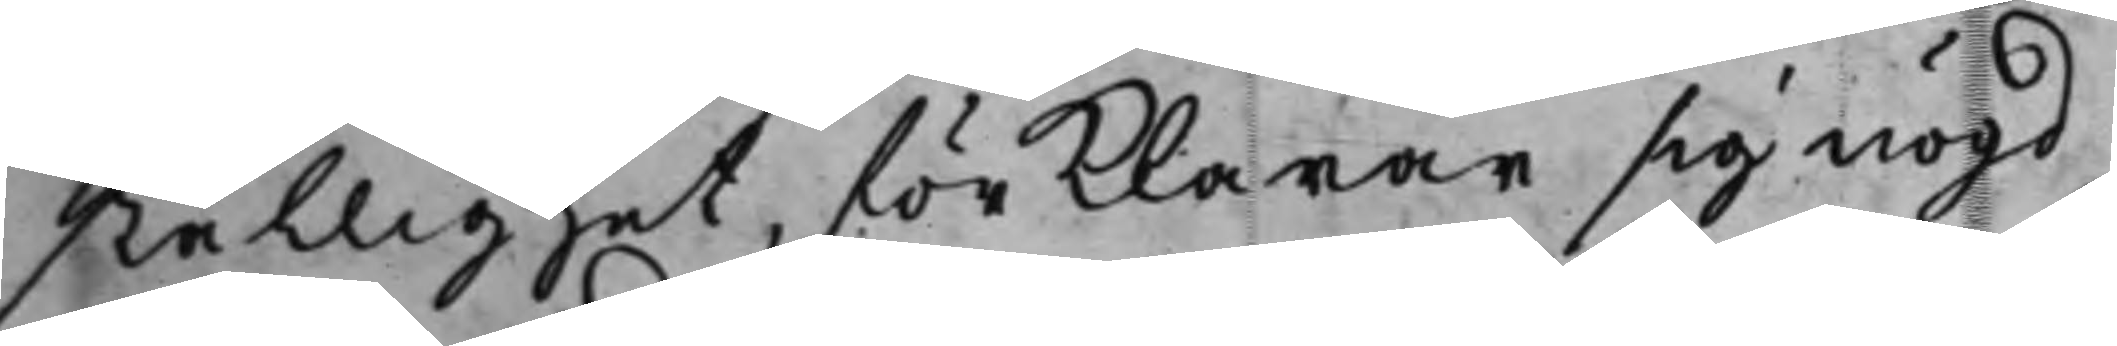ställighet, förklarar sig nögd
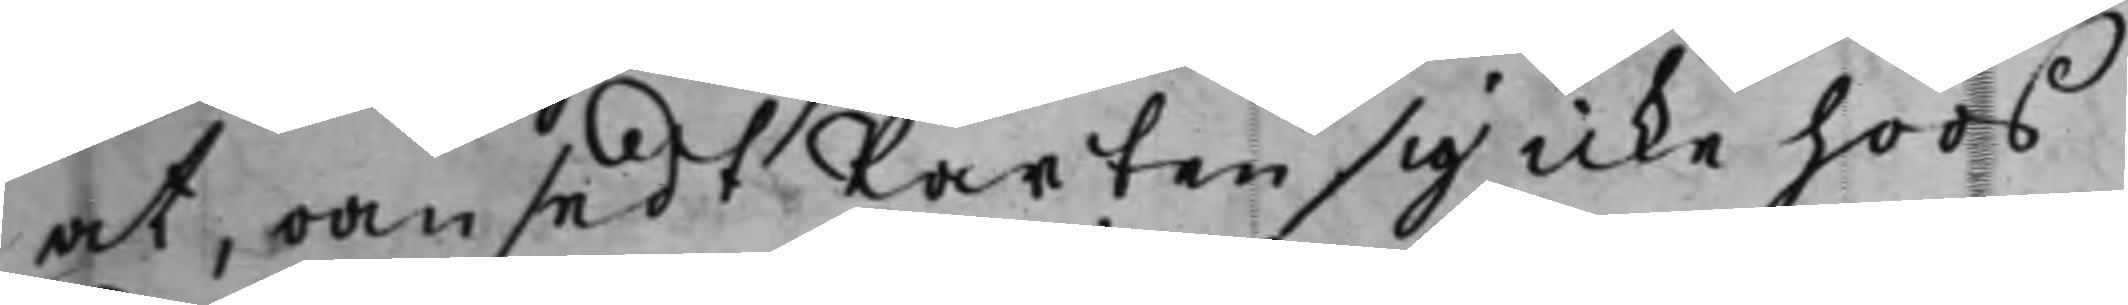at, oansedt Parten sig icke hoos
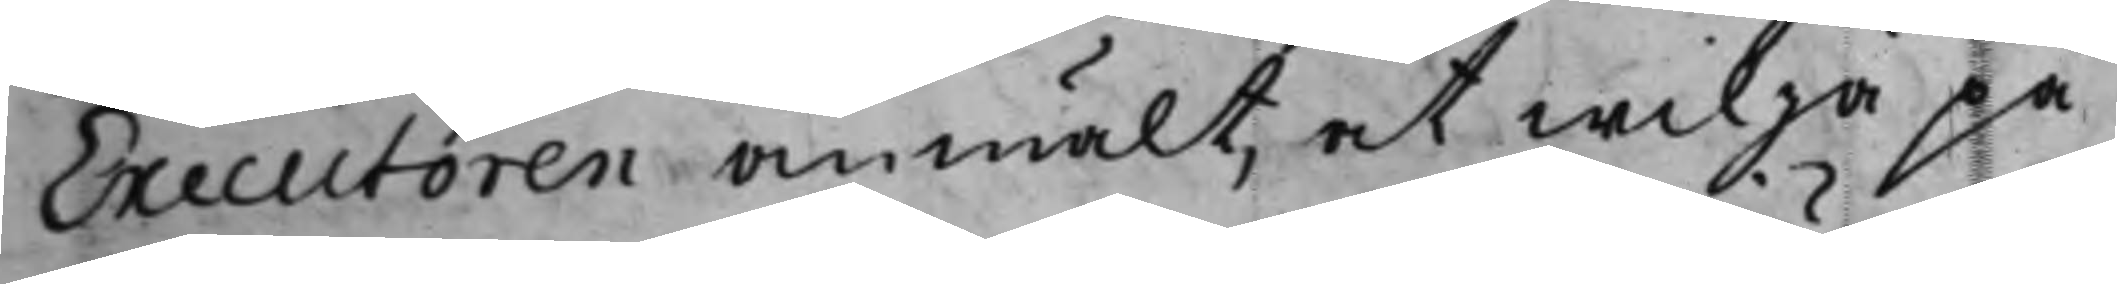Executoren anmält, at wilja på
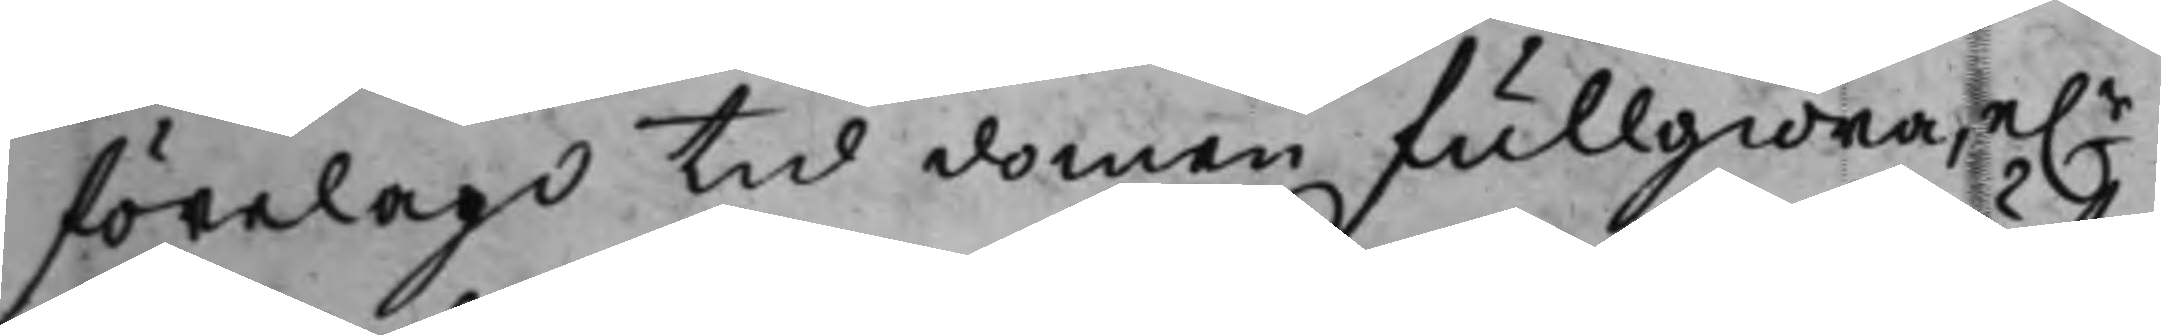förelagd tid domen fullgiöra, e.r
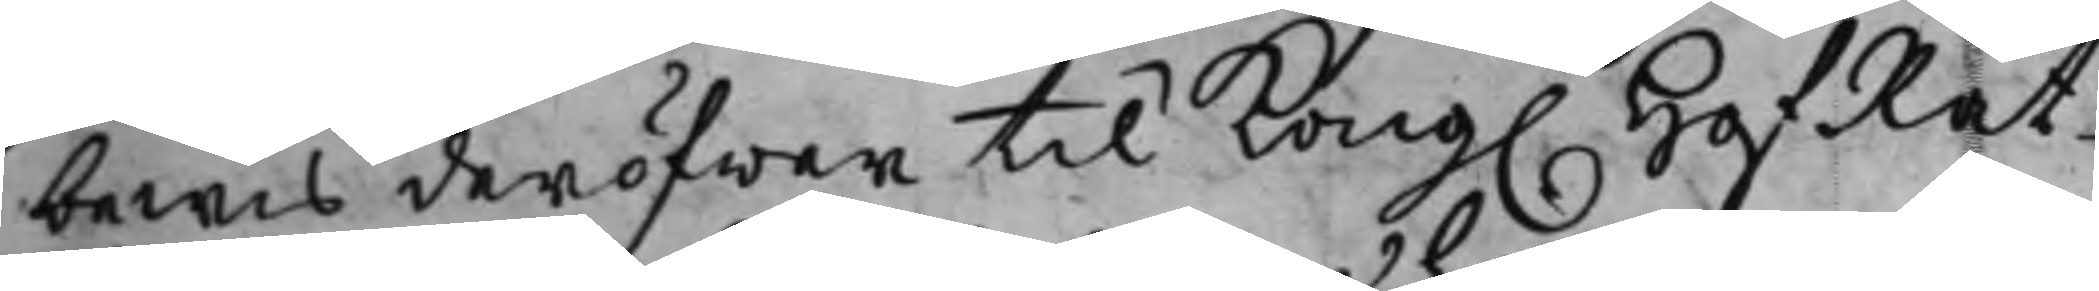bewis deröfwer til Kong. HofRät¬
